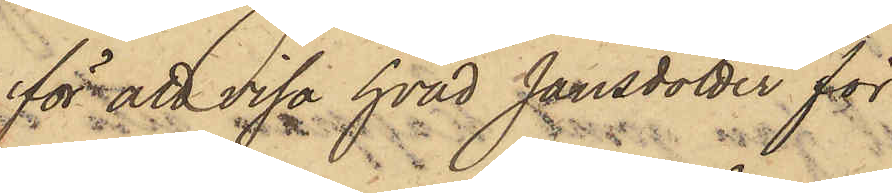för att visa hvad Jansdotter för
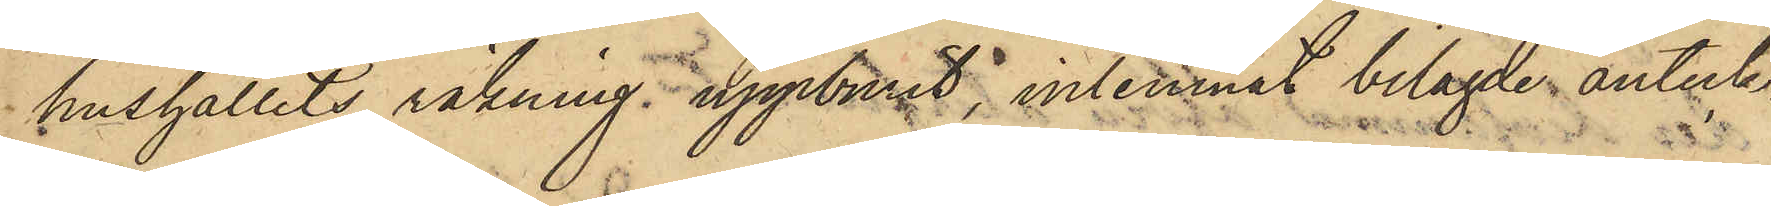hushållets räkning uppburit, inlemnat bilagde anteck¬
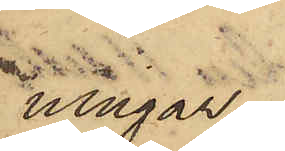ningar.
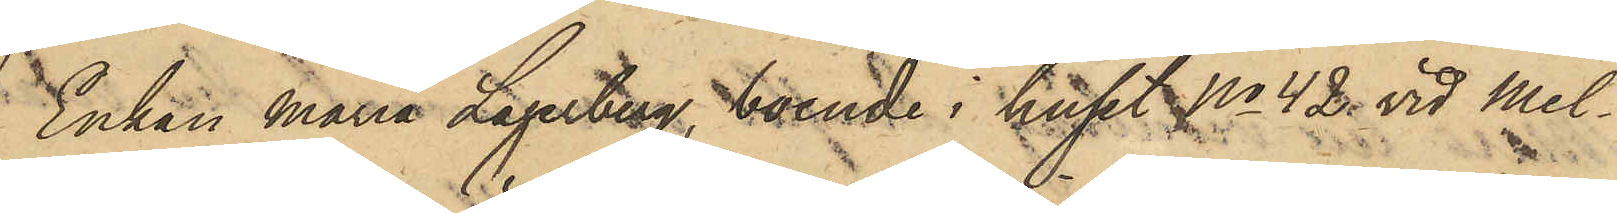Enkan Maria Lagerberg, boende i huset No 42 vid Mel¬
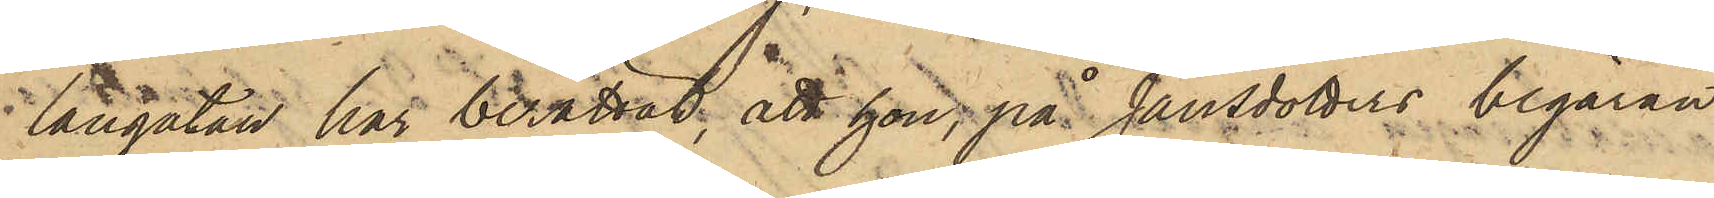langatan har berättat; att hon, på Jansdotters begäran
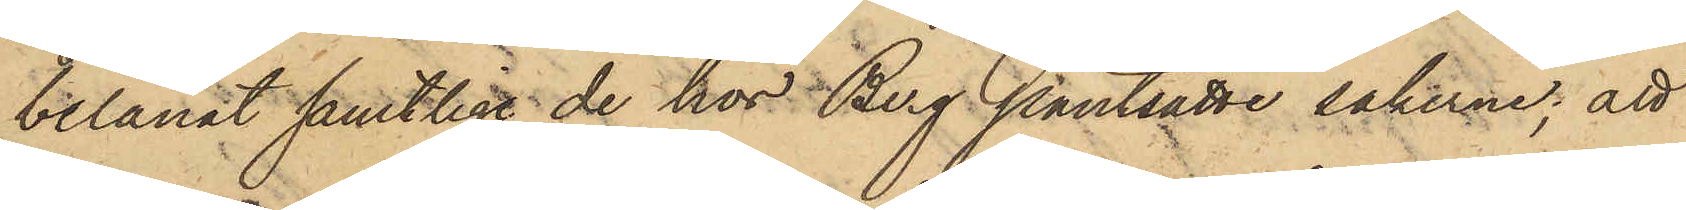belånat samtlige de hos Berg pantsatte sakerne; att
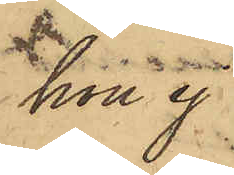hon ej
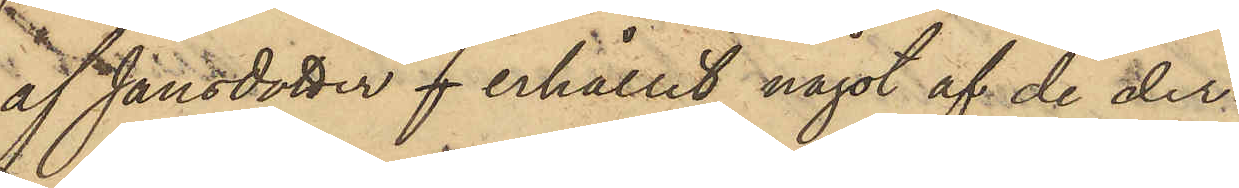af Jansdotter f erhållit något af de der¬
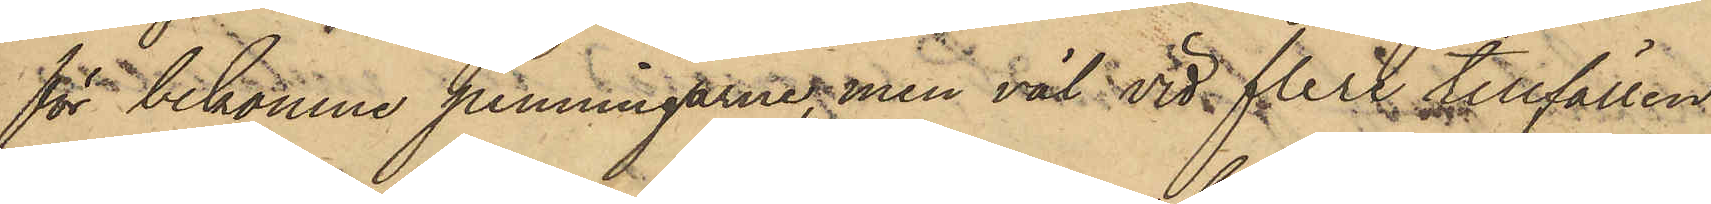för bekomne penningarne, men väl vid flere tillfällen
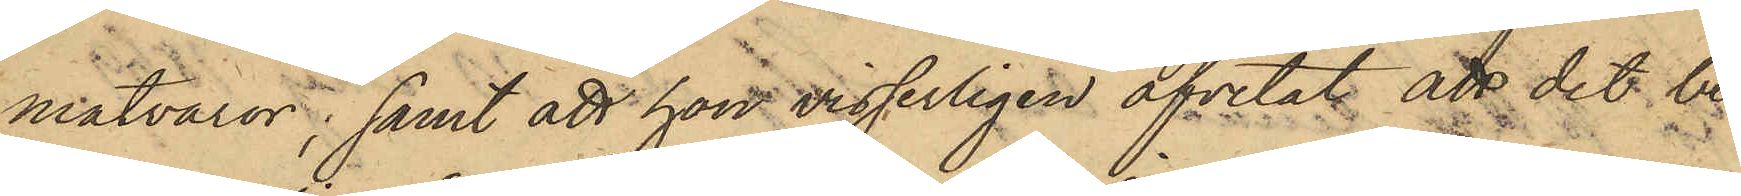matvaror; samt att hon visserligen afvetat att det be¬
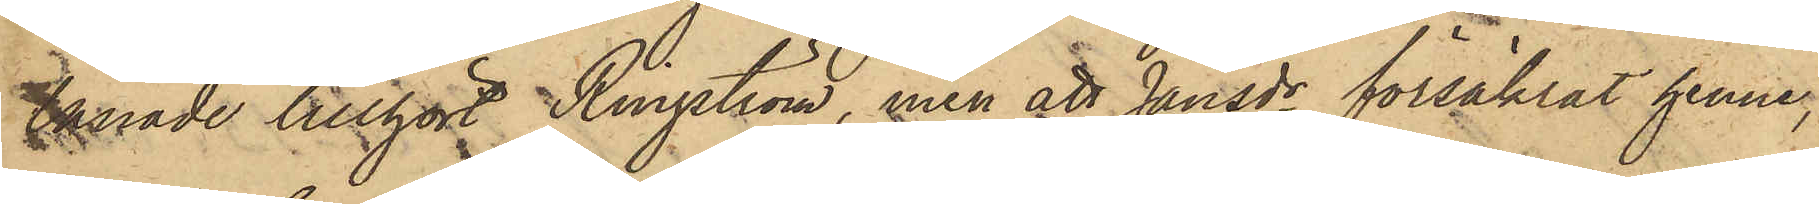lånade tillhört Ringström, men att Jansdr försäkrat henne,
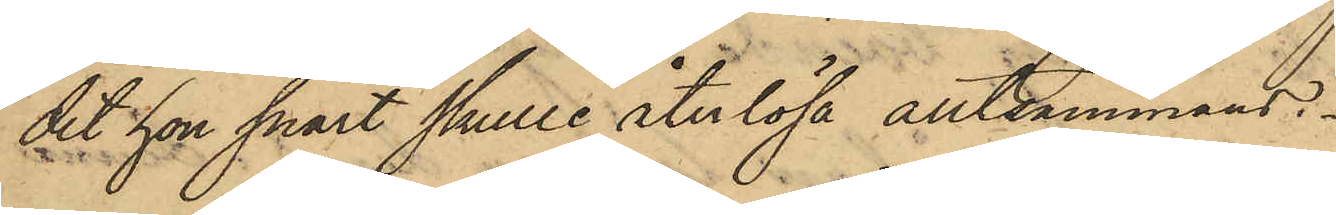det hon snart skulle återlösa alltsammans.
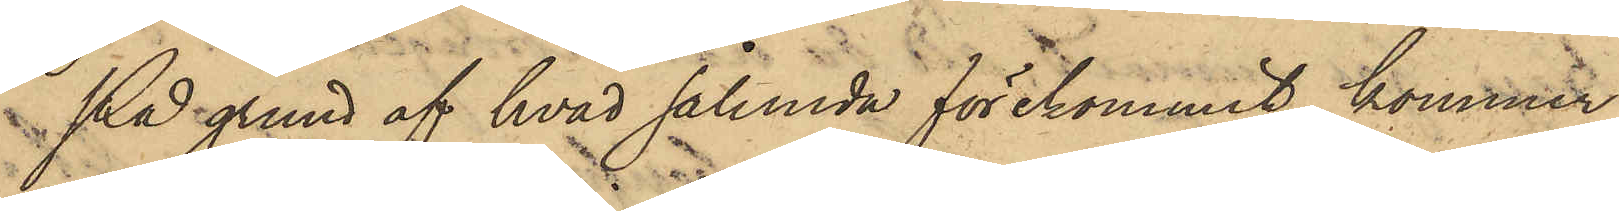På grund af hvad sålunda förekommit, kommer
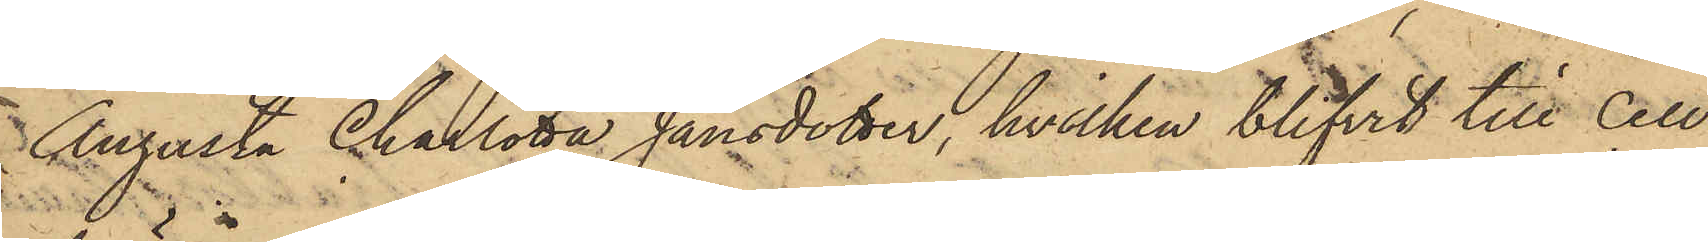Augusta Charlotta Jansdotter, hvilken blifvit till Cell¬
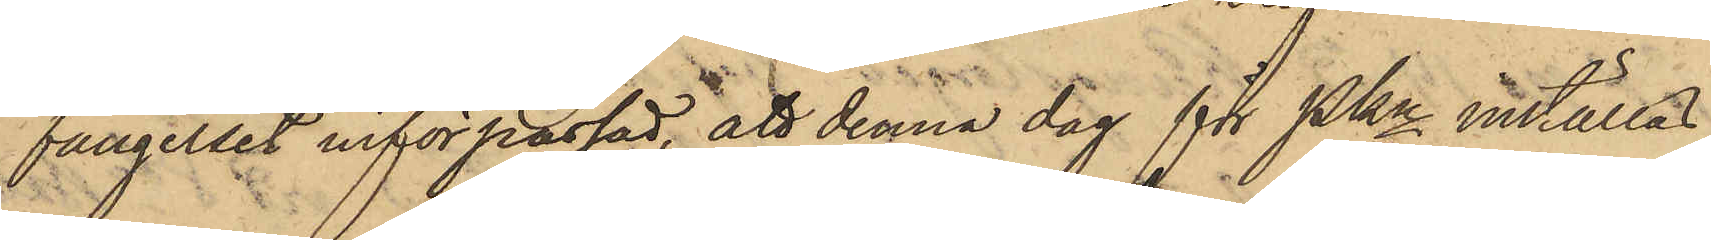fängelset införpassad, att denna dag för PKn inställas.
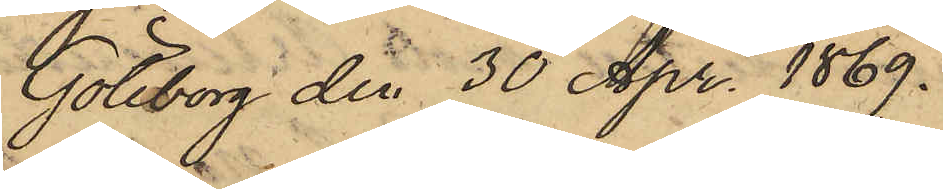Göteborg den 30 Apr. 1869.
